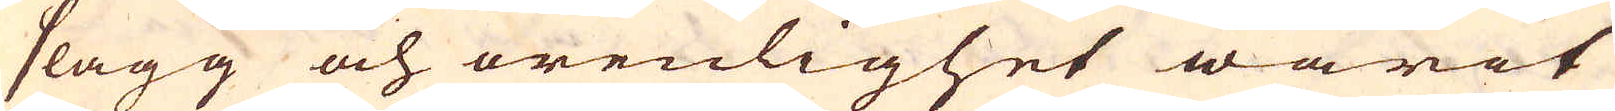slagg och orenlighet warit
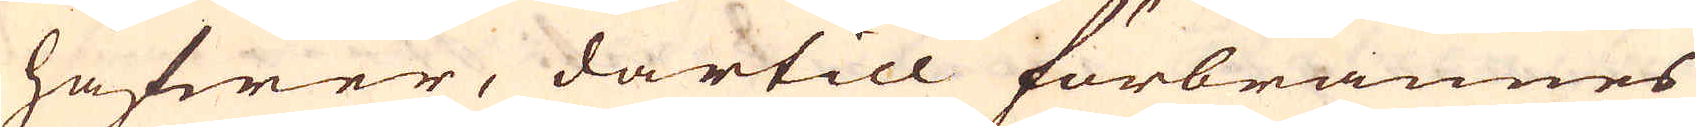hafwer, dartill förbrännes
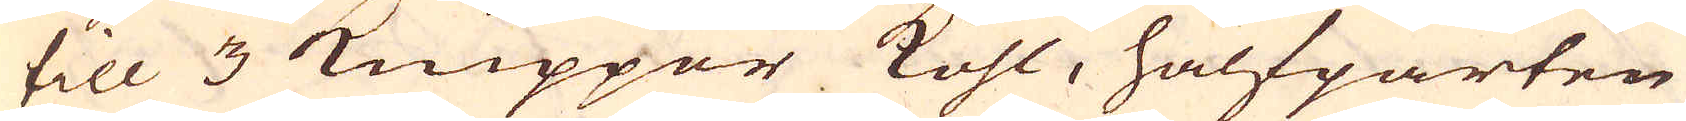till 3 Knipper Kohl, halfparten
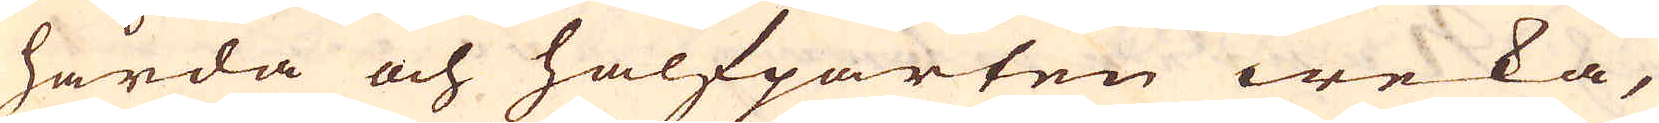hårda och halfparten weka,
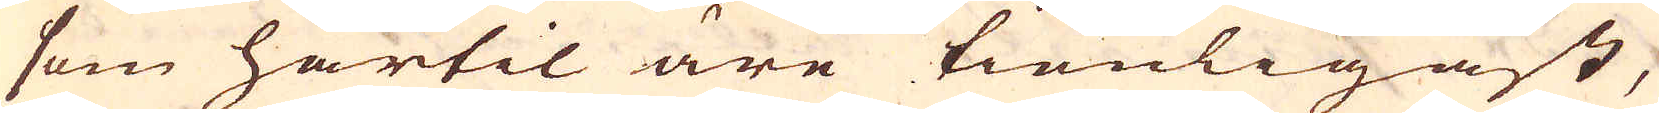som härtil äre tienligast,
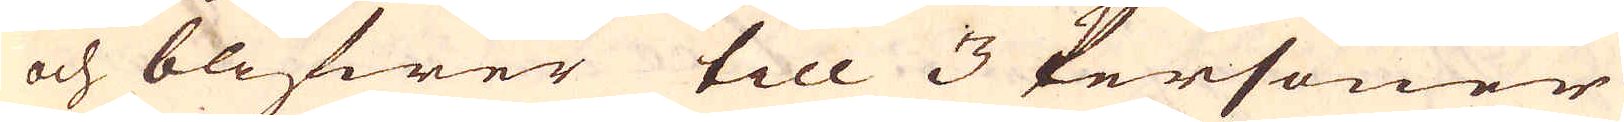och blifwer till 3 Personer
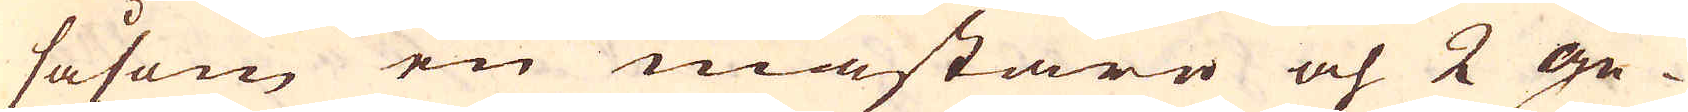såsom en mästare och 2 ge-
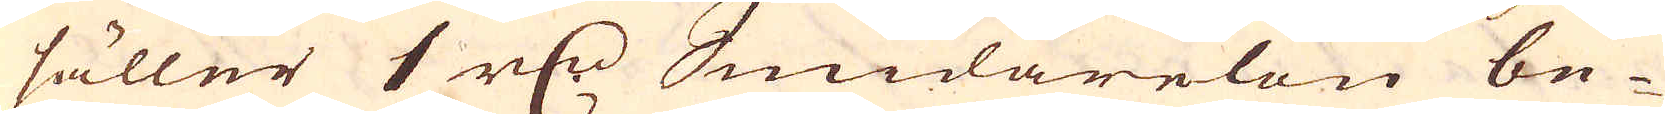säller 1 r:dr Smidarelön be-
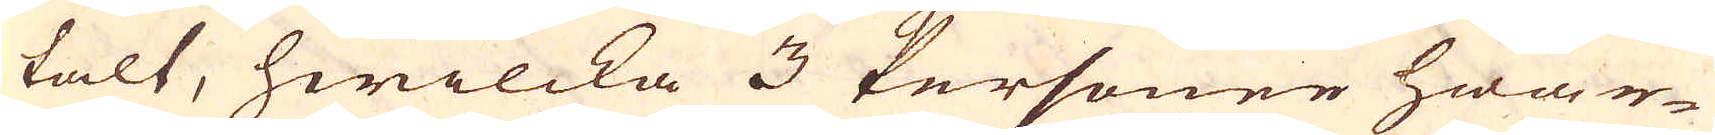talt, hwilcka 3 Personer hwar-
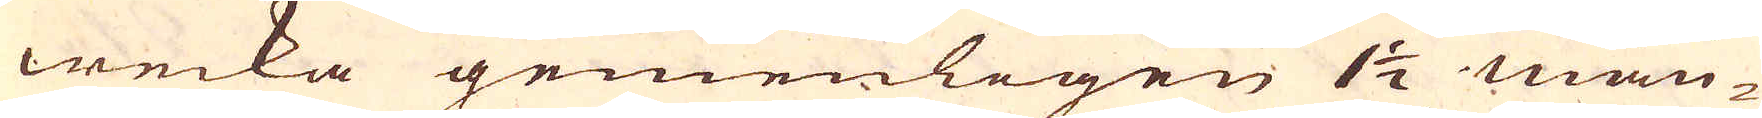wecka gemenligen 1 1/2 mäu-
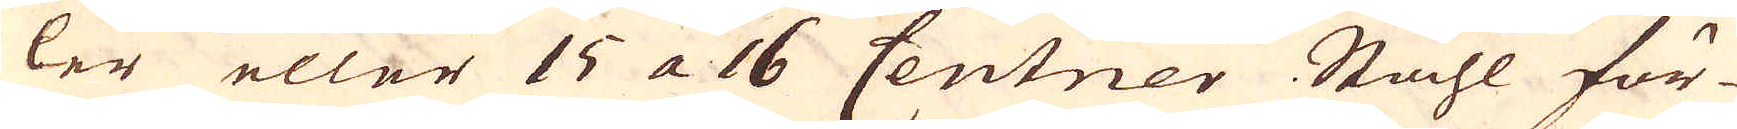ler eller 15 a 16 Centner Ståhl för-
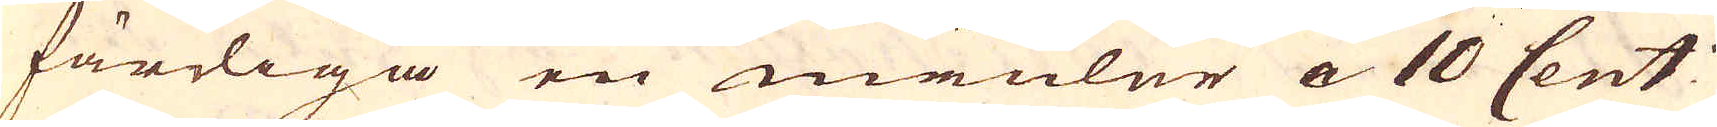färdiga en mäuler a 10 Cent:
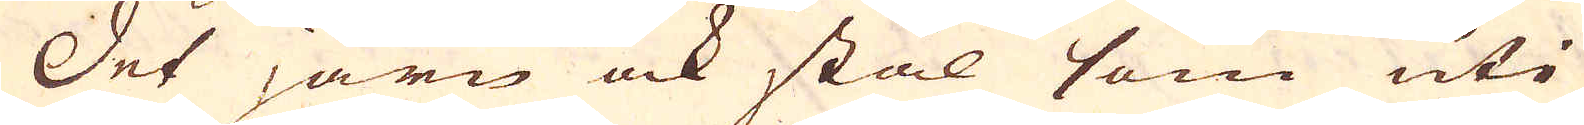Det järn ock stål som uti
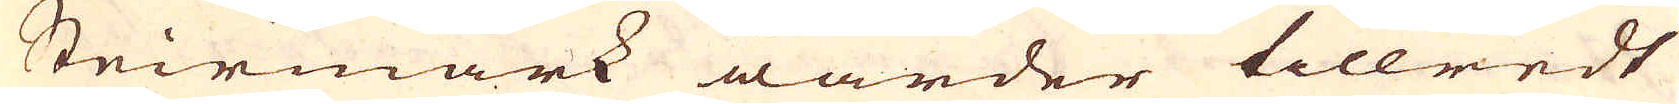Steirmark warder tillredt
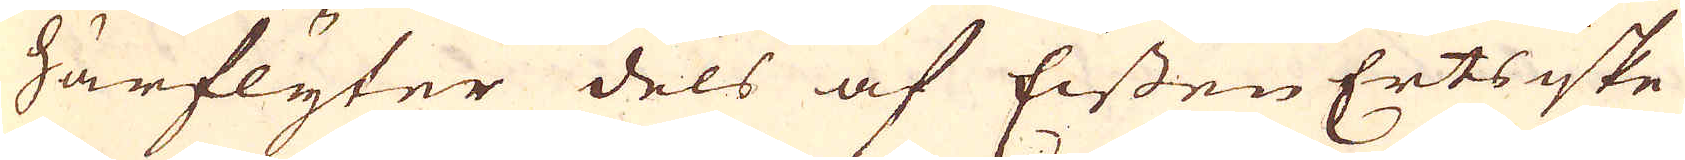härflyter dels af Eissen Ertsiske
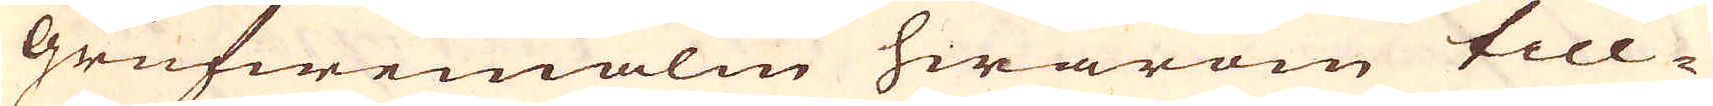Grufwemalm hwarom till-
